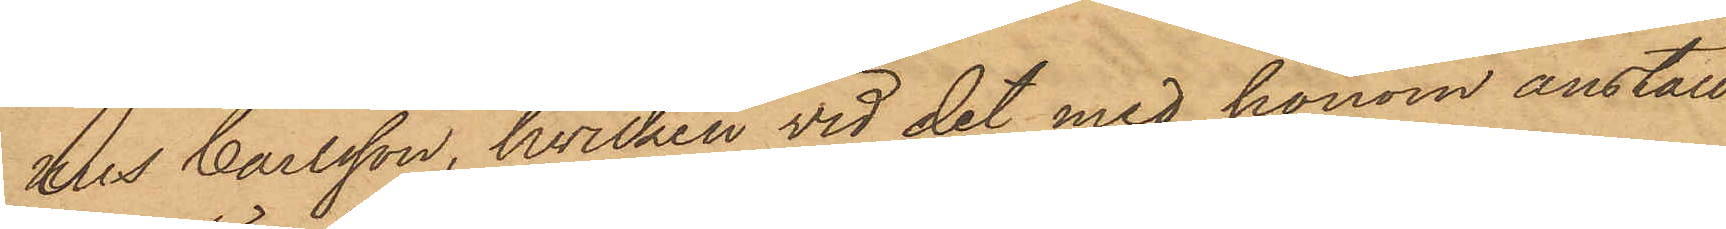hus Carlsson, hvilken vid det med honom anställ¬
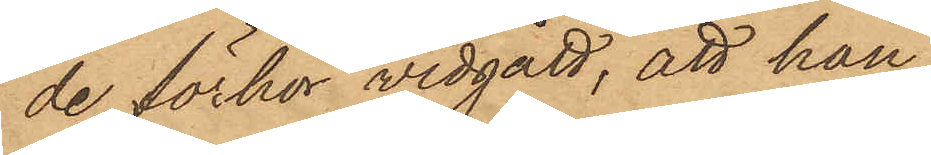de förhör vidgått, att han
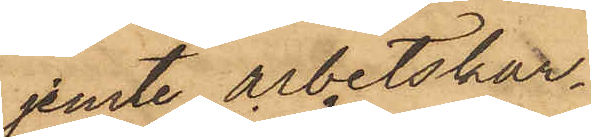jemte arbetskar¬
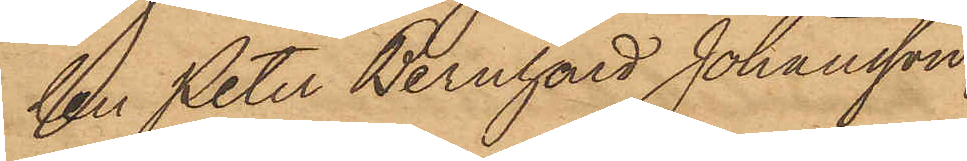len Peter Bernhard Johansson
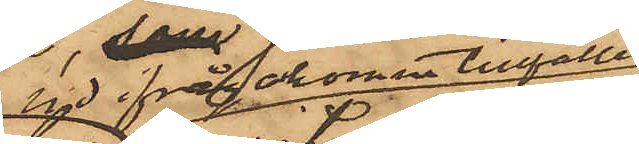vid ifrågakomne tillfälle
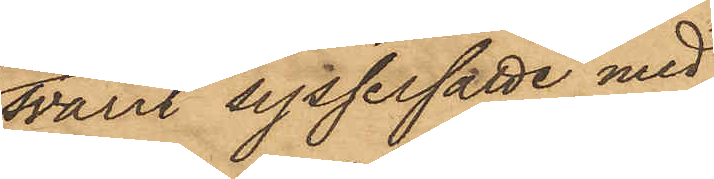svarit sysselsatte med
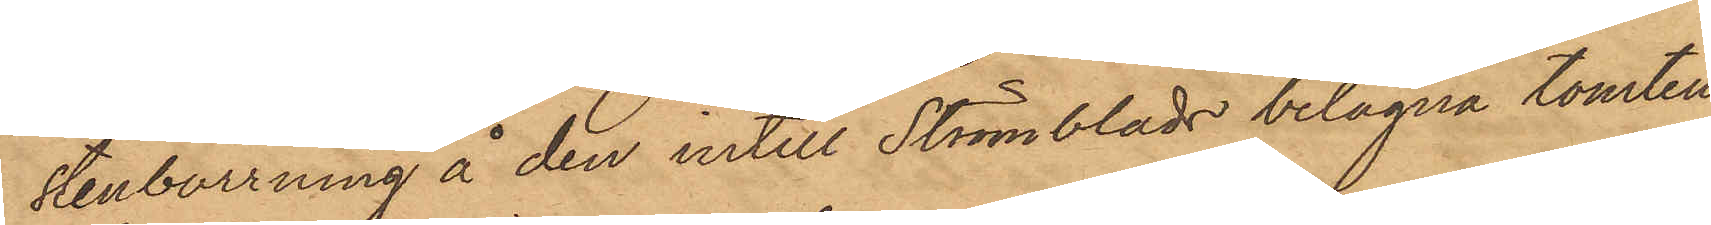stenborrning å den intill Strömblads belägna tomten
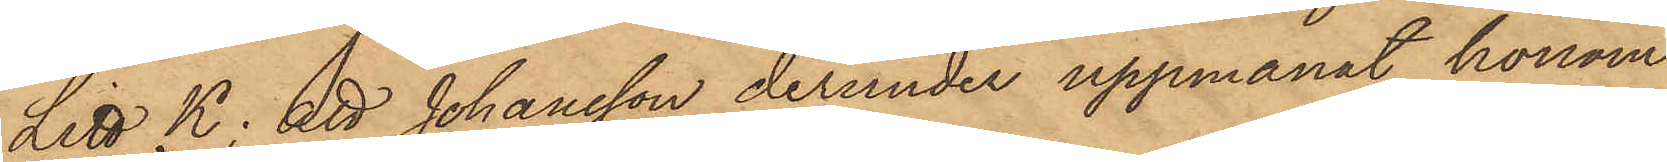Litt K; att Johansson derunder uppmanat honom
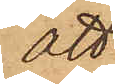att
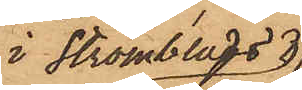i Strömblads
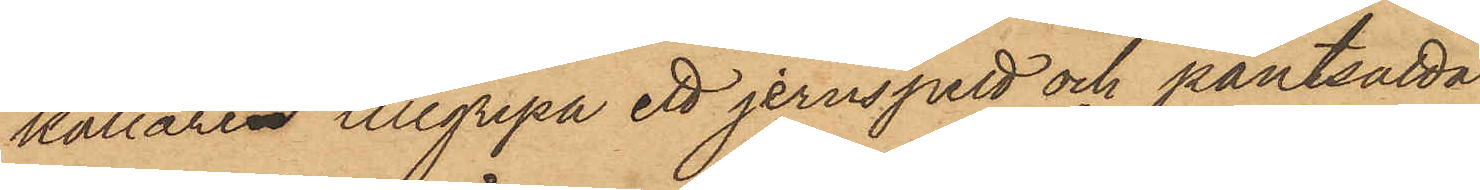källare tillgripa ett jernspett och pantsätta
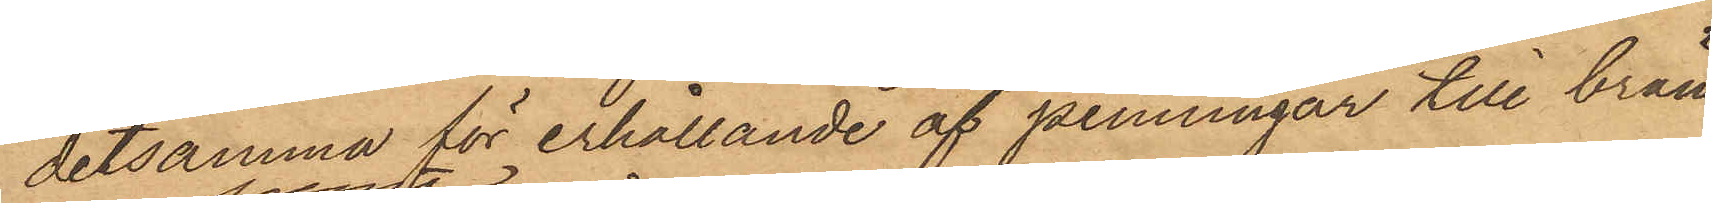detsamma för erhållande af penningar till brän¬
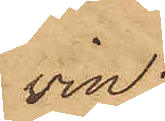vin;
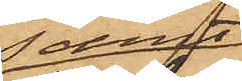samt
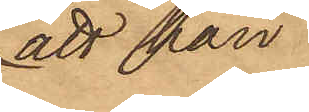att han
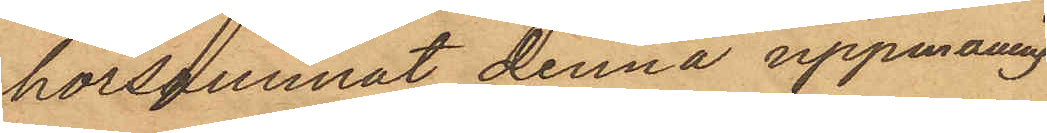hörsammat denna uppmaning
